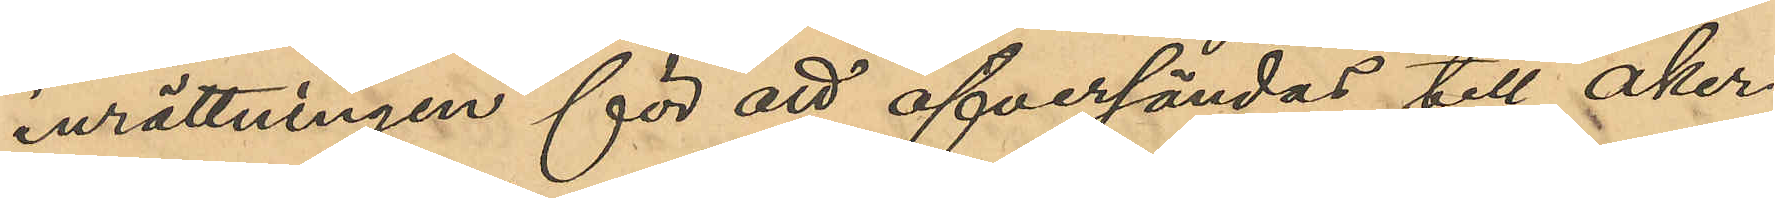inrättningen för att öfversändas till Åker¬
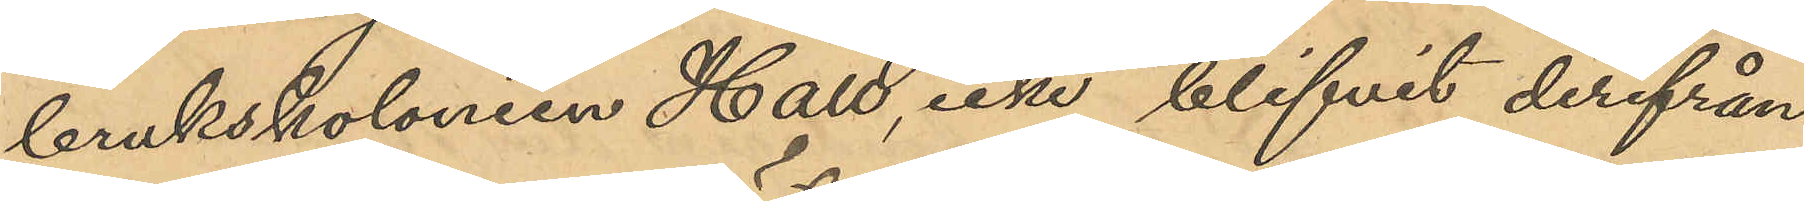brukskolonien Hall, icke blifvit derifrån
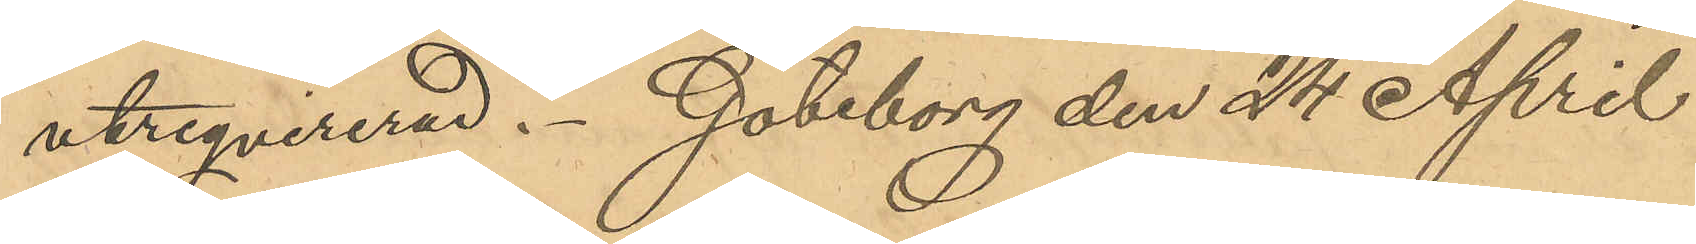utreqvirerad. Göteborg den 24 April
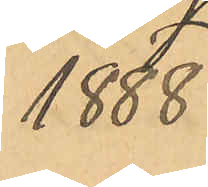1888.
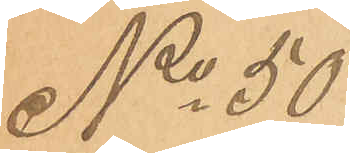No 50
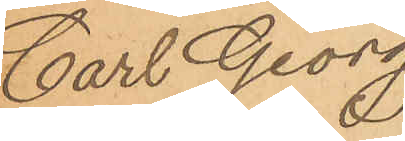Carl Georg
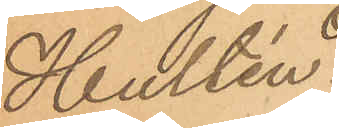Hultén.
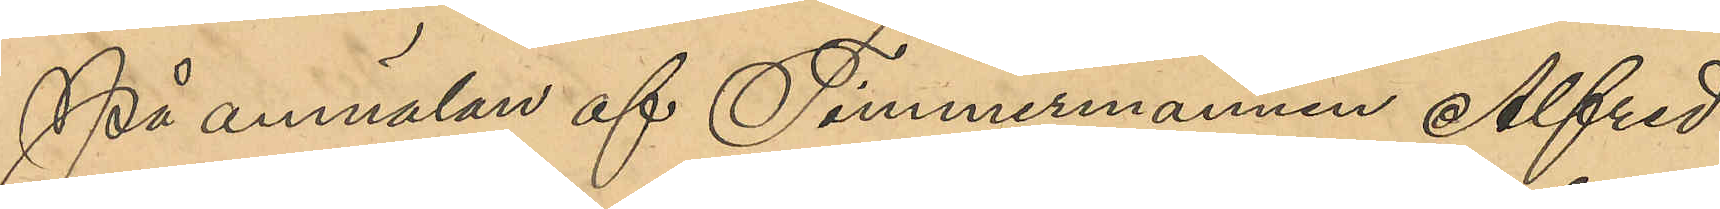På anmälan af Timmermannen Alfred
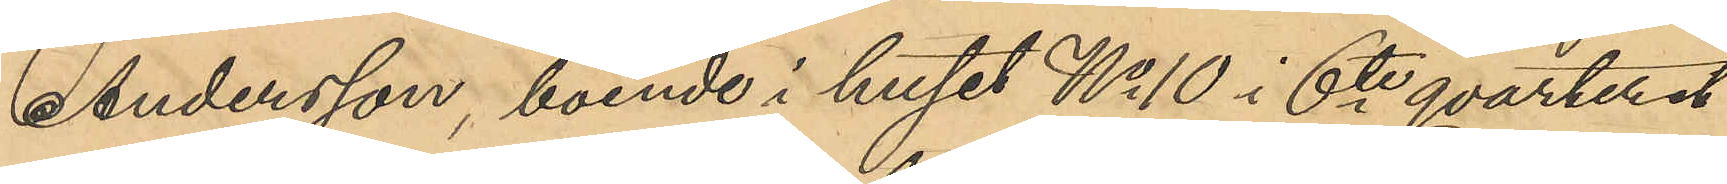Andersson, boende i huset No 10 i 6te qvarteret
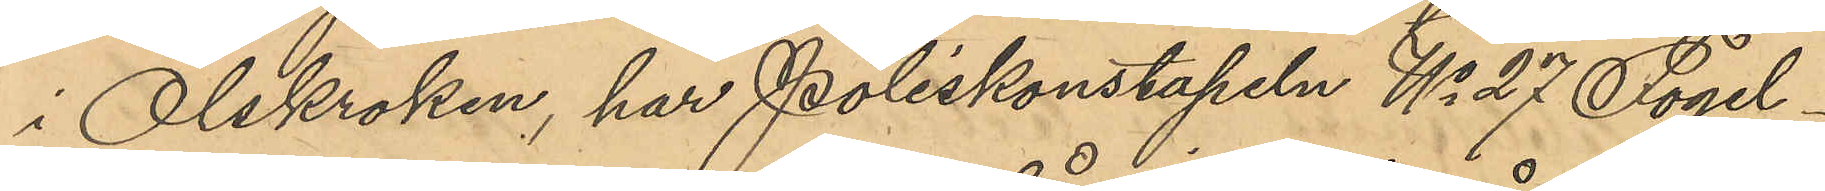i Olskroken, har Poliskonstapeln No 27 Fogel¬
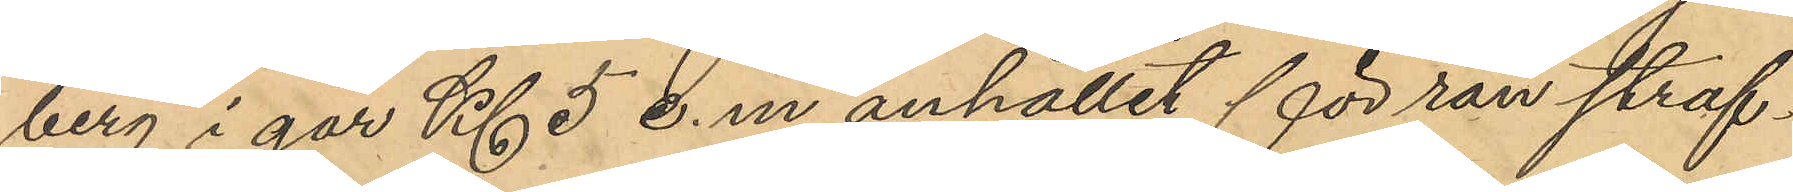berg i går Kl 5 e.m. anhållit för rån straf¬
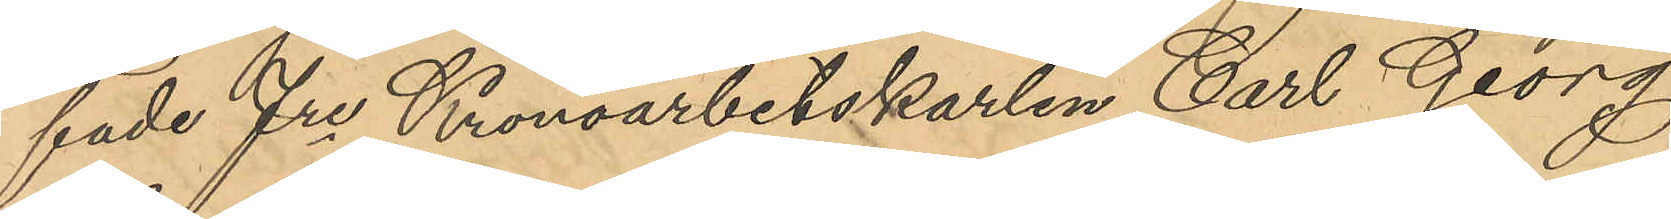fade fre Kronoarbetskarlen Carl Georg
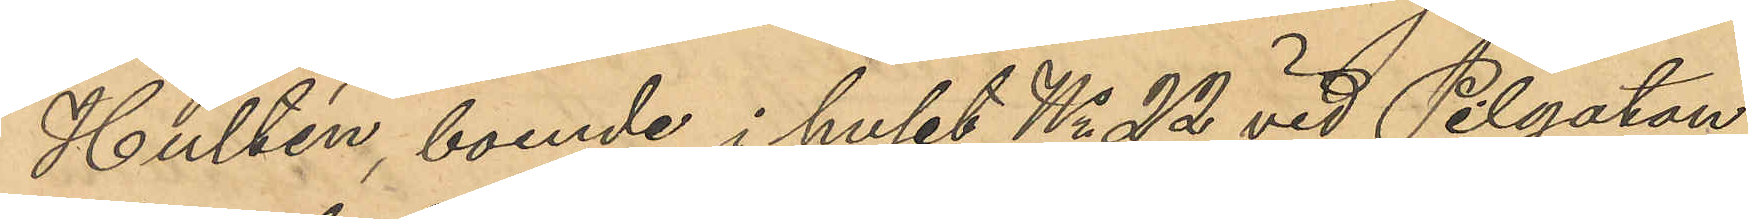Hultén, boende i huset No 22 vid Pilgatan,
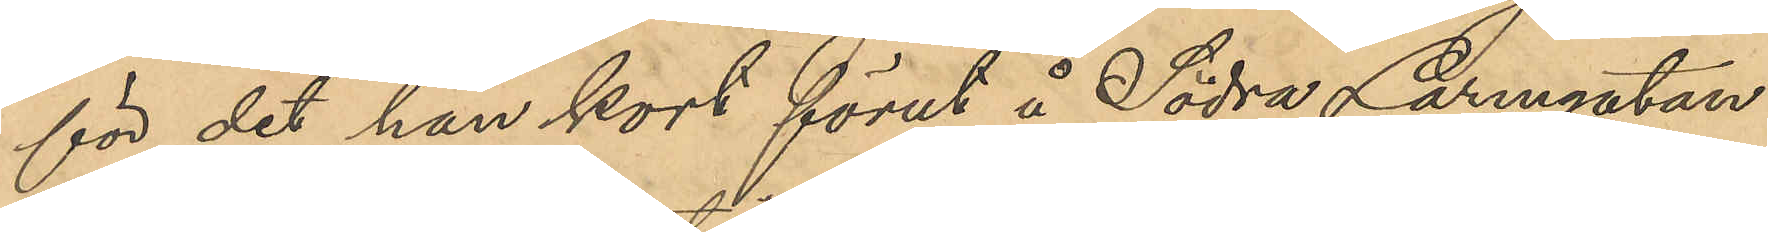för det han kort förut å Södra Larmgatan
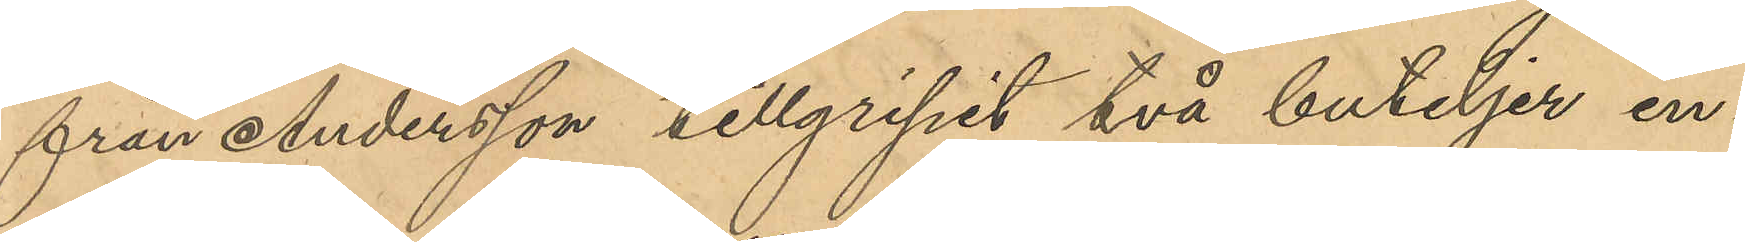från Andersson tillgripit två buteljer in¬
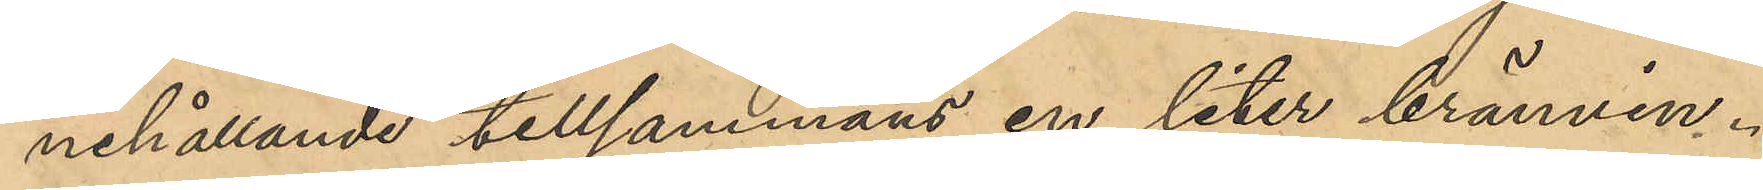nehållande tillsammans en liter brännvin.
